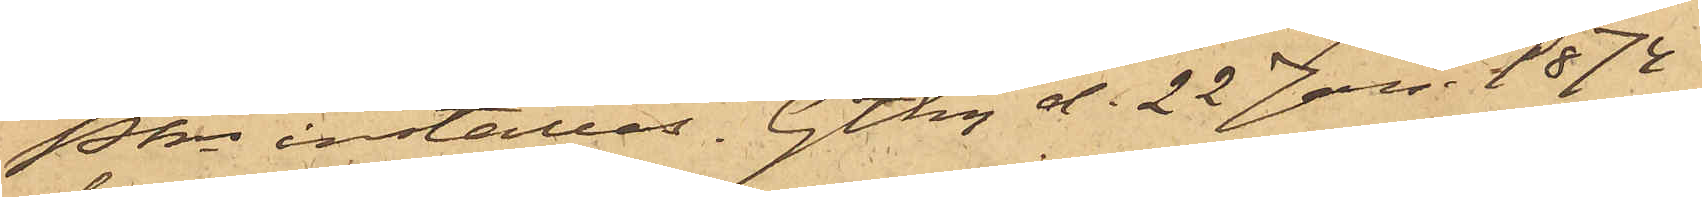Pkn inställas. Gtbg d. 22 Jan. 1874
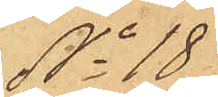No 18
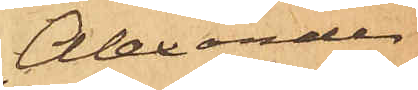Alexander
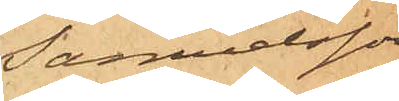Samuelsson
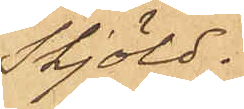Skjöld.
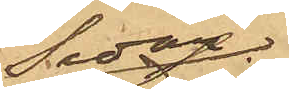Sedan
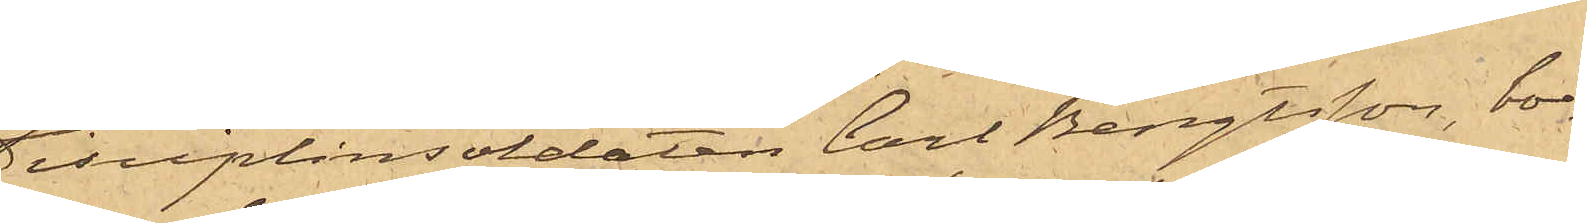Disciplinsoldaten Carl Bengtsson, bo¬
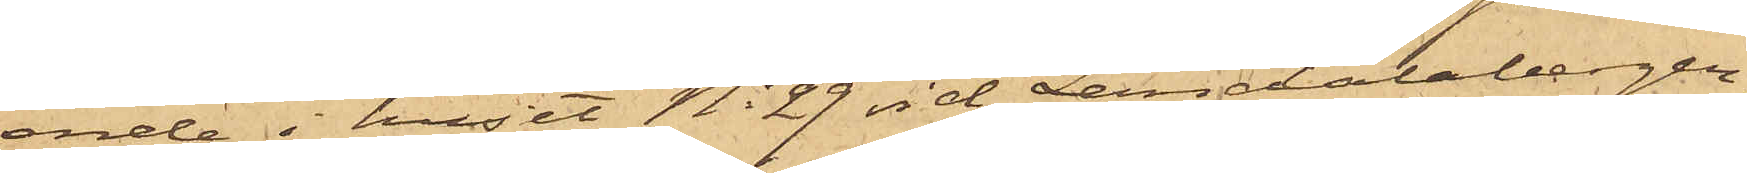ende i huset No 29 vid Landalabergen,
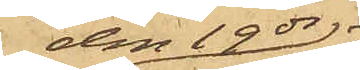den 19 ds
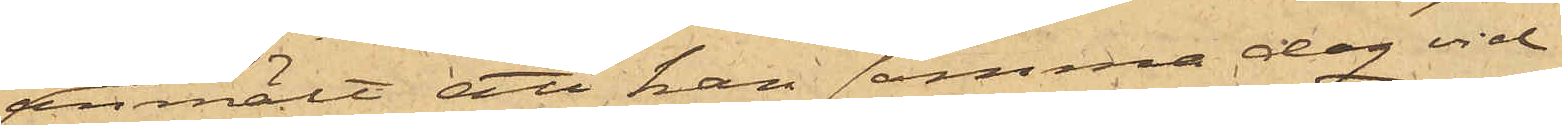anmält att han samma dag vid
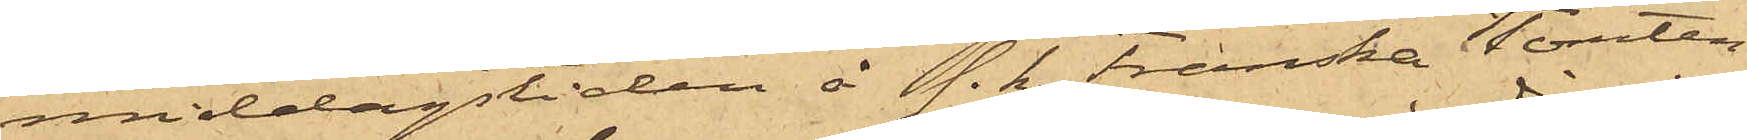middagstiden å s. k. Franska Tomten
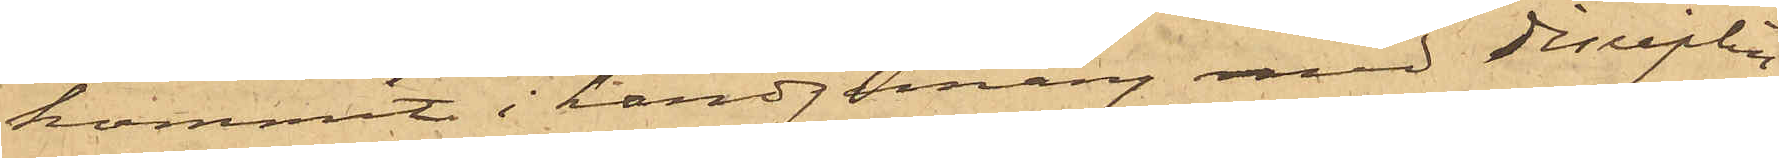kommit i handgemäng med disciplin¬
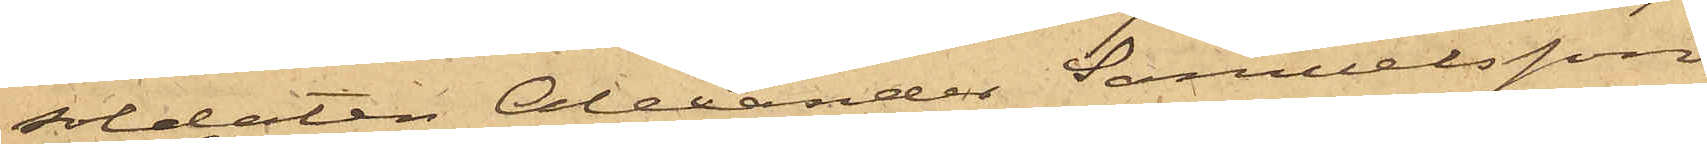soldaten Alexander Samuelsson
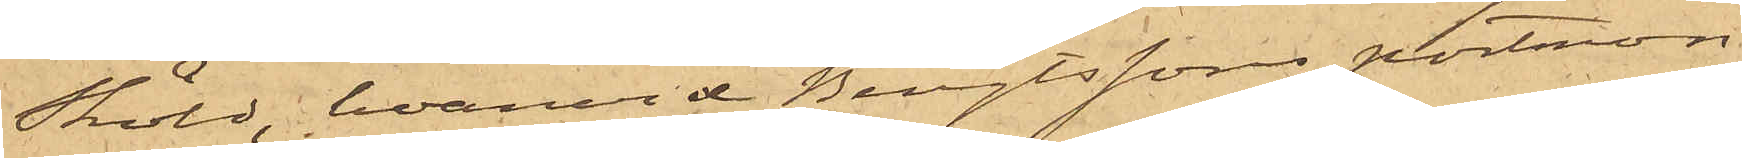Sköld, hvarvid Bengtssons portmon¬
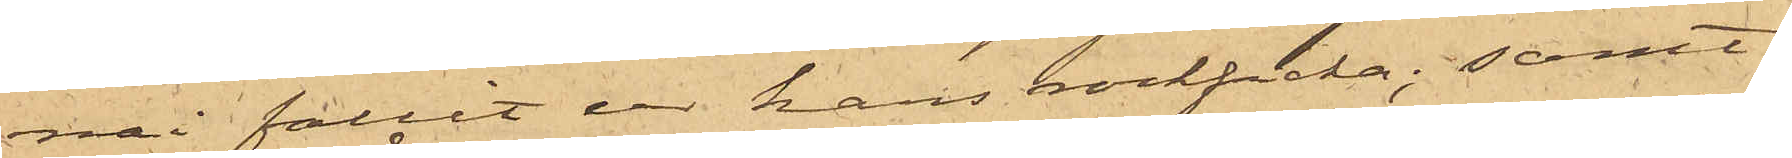nai fallit ur hans rockficka; samt
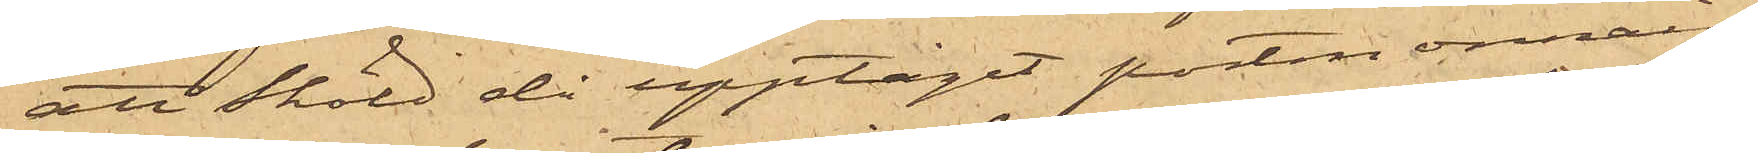att Sköld då upptagit portmonnain,
